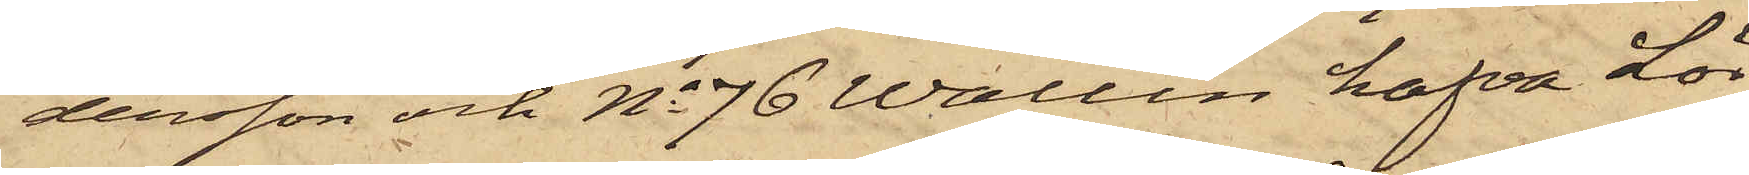dersson och No 76 Wallin hafva Lör¬
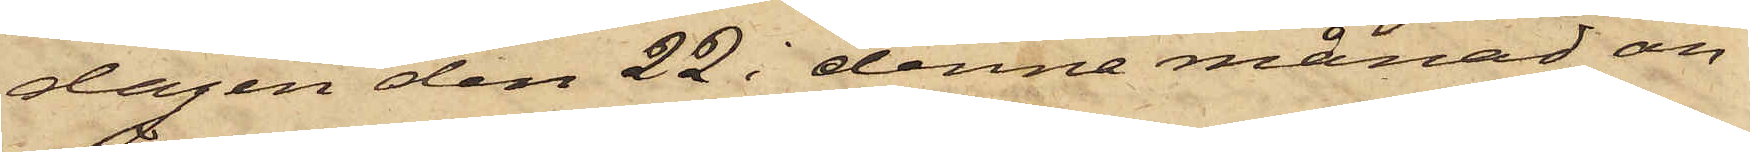dagen den 22 i denne månad an¬
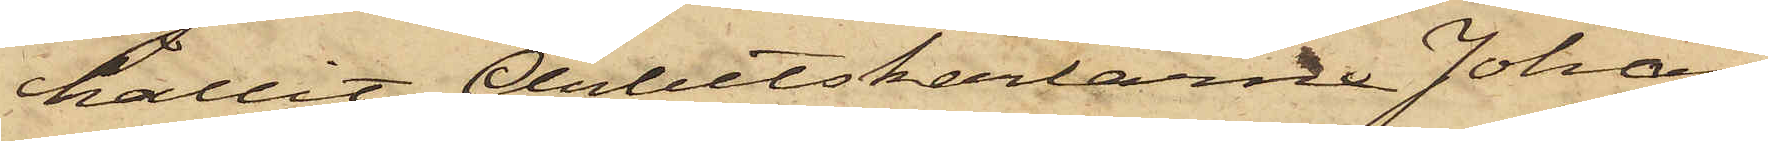hållit Arbetskarlarne Johan
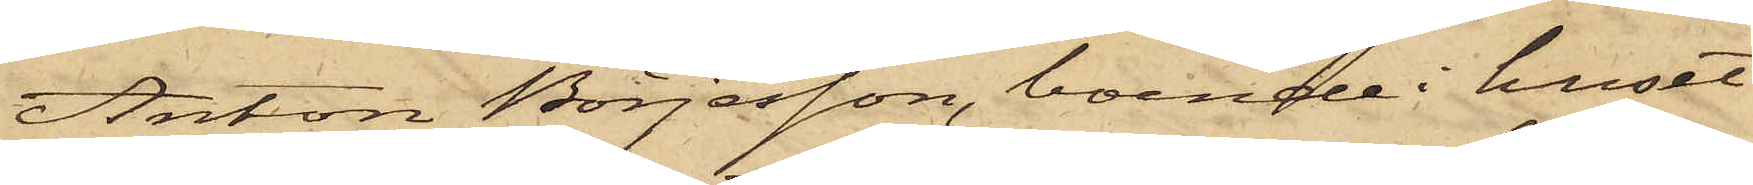Anton Börjesson, boende i huset
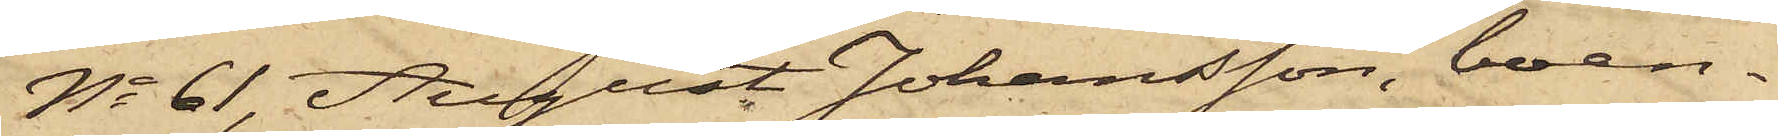No 61, August Johansson, boen¬
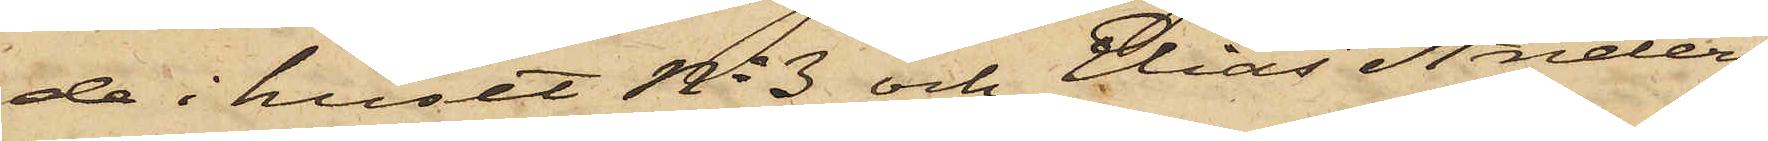de i huset No 3 och Elias Anders¬
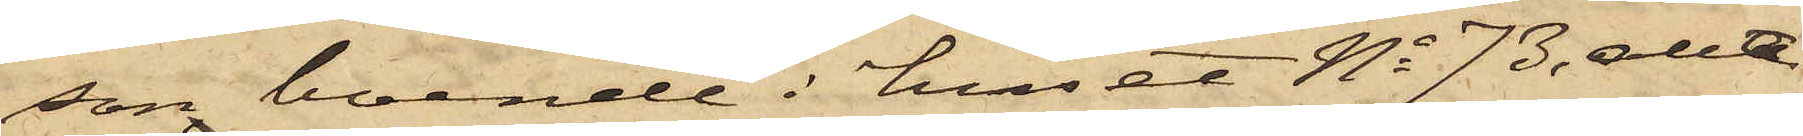son boende i huset No 73, allt
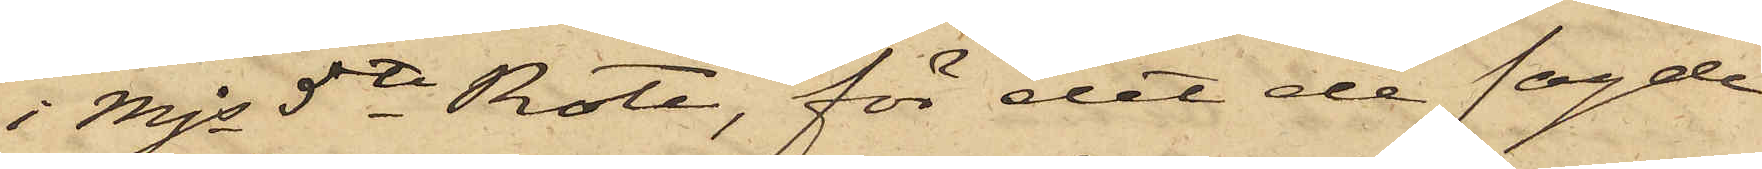i Mjs 5te Rote, för det de sagde
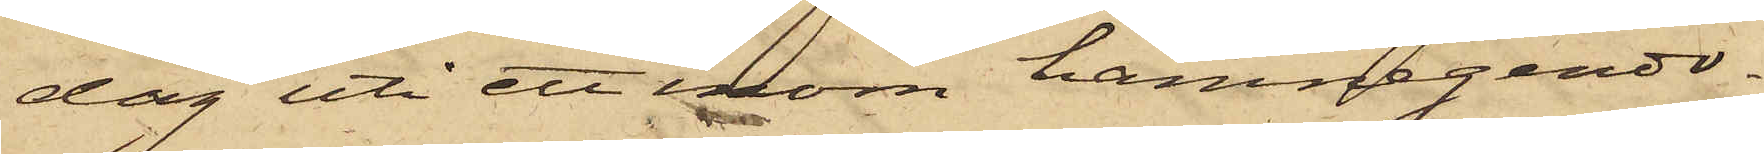dag uti ett inom hamnegendo¬
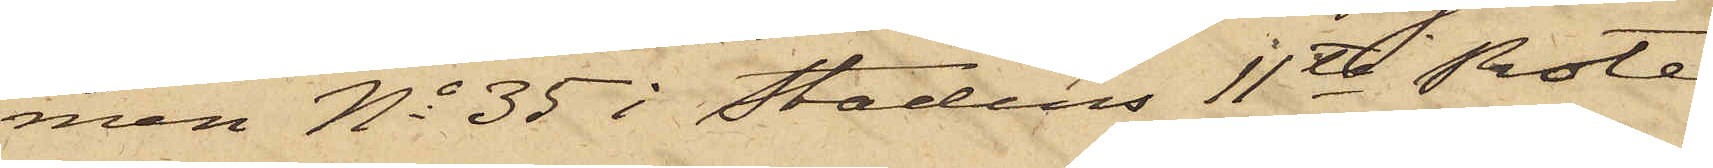men No 35 i Stadens 11te Rote
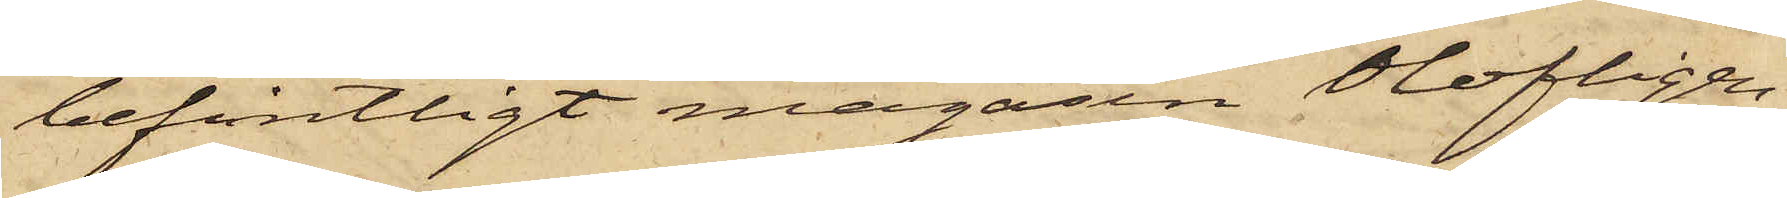befintligt magasin Olofligen
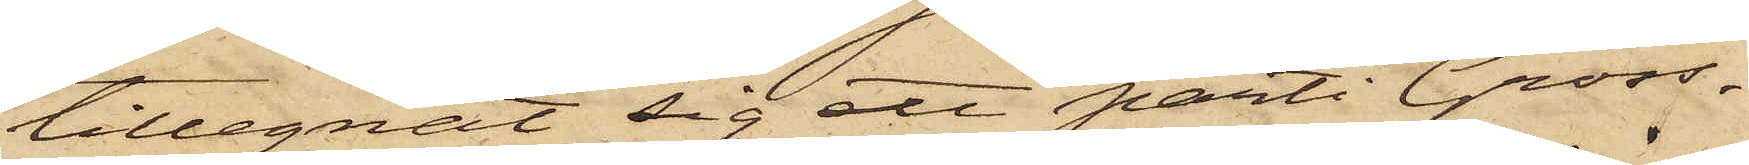tillegnat sig ett parti Gross¬
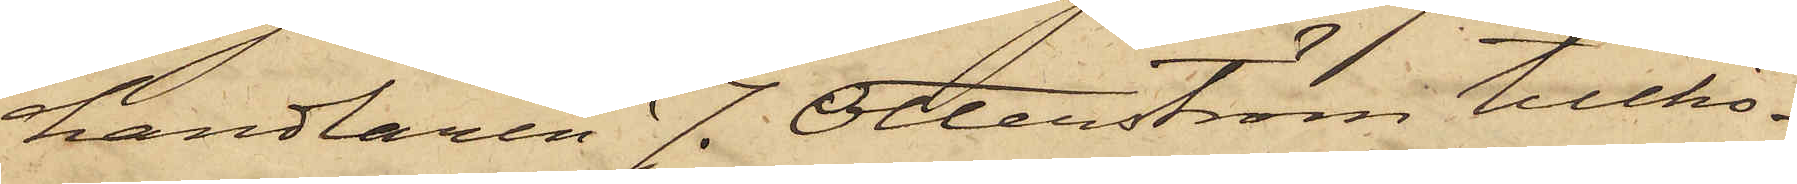handlaren J. Otterström tillhö¬
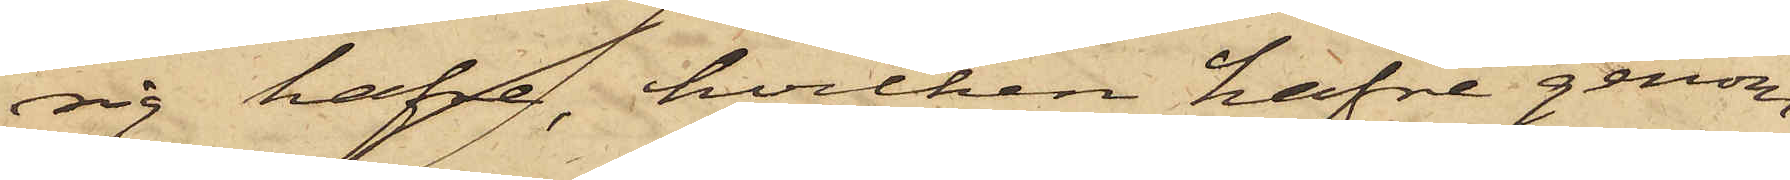sig hafre, hvilken hafre genom
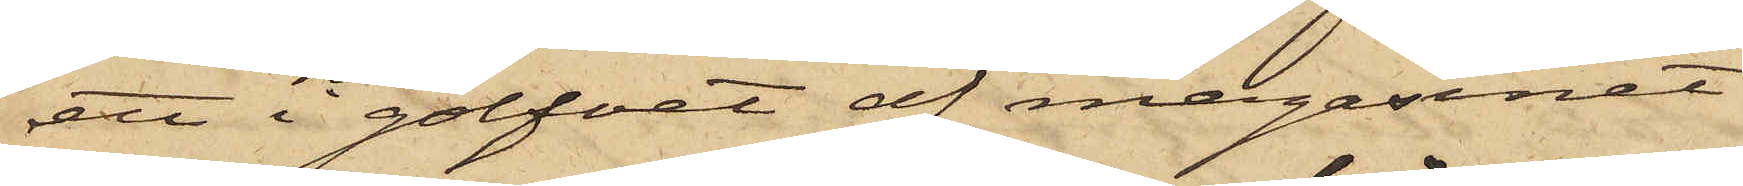ett i golfvet af magasinet
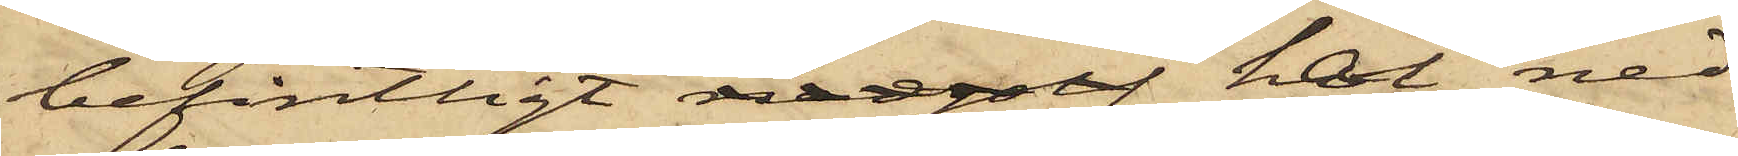befintligt nedgolf hål ned¬
